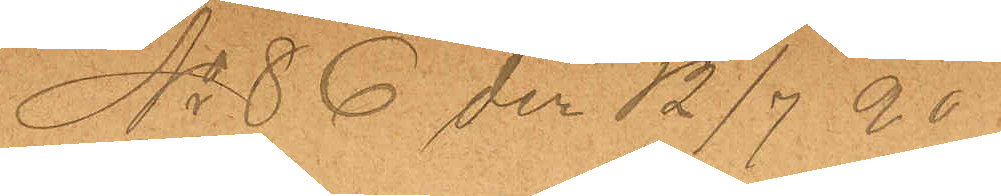No 86 den 12/7 90
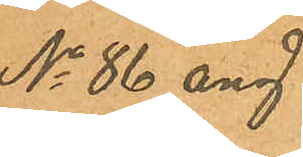No 86 ang
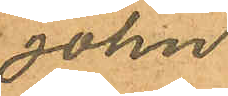John
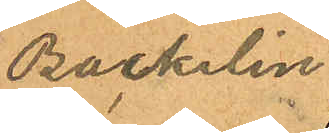Backelin
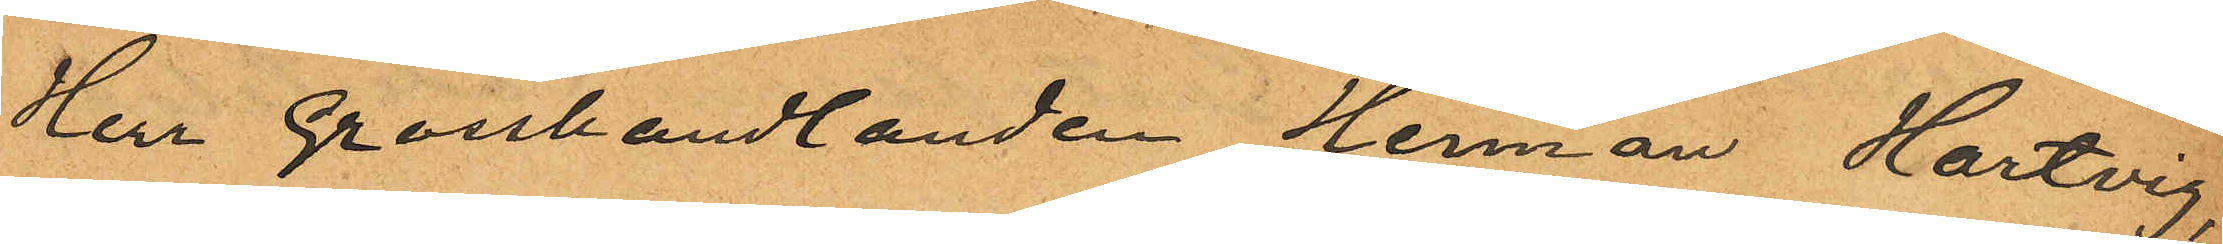Herr Grosshandlanden Herman Hartvig,
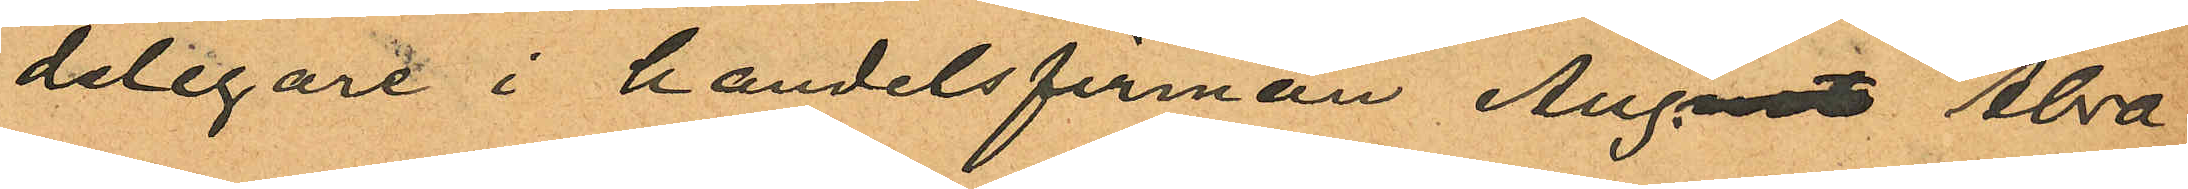delegare i handelsfirman Aug.ust Abra
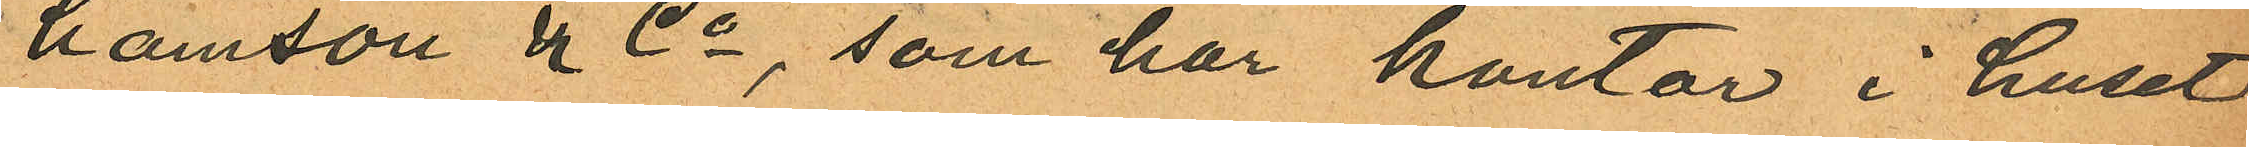hamson & Co, som har kontor i huset
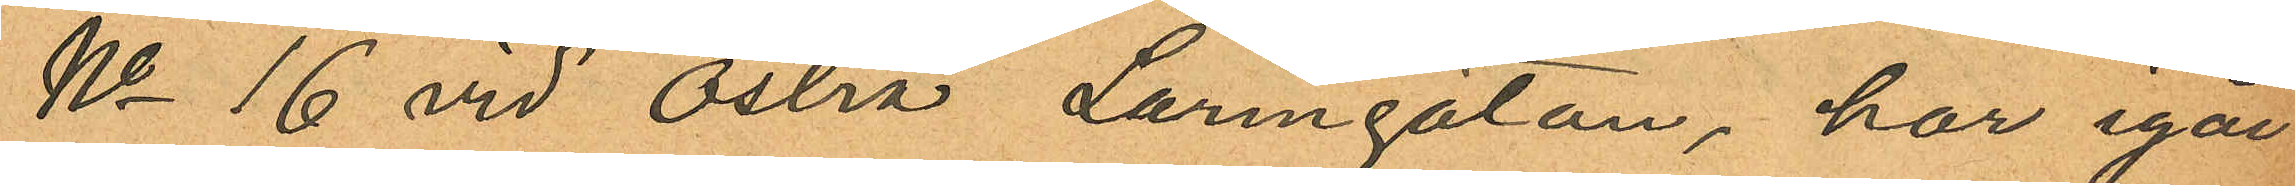No 16 vid Östra Larmgatan, har igår
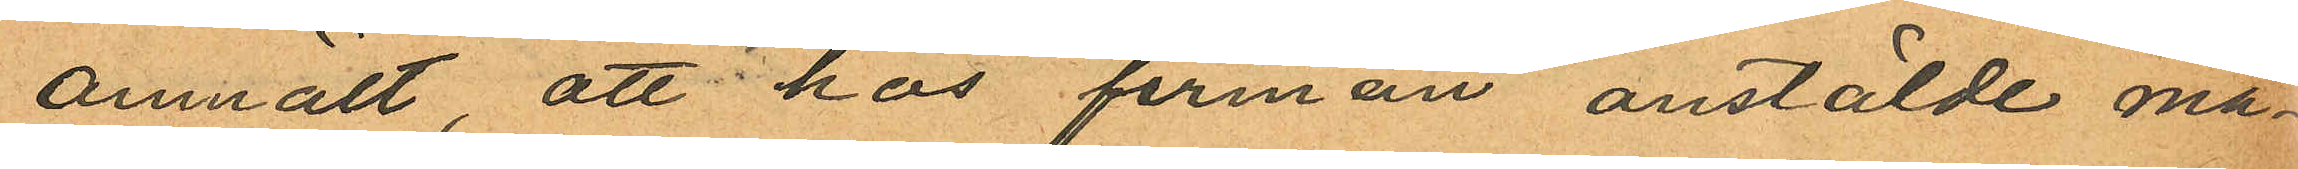anmält, att hos firman anstälde må¬
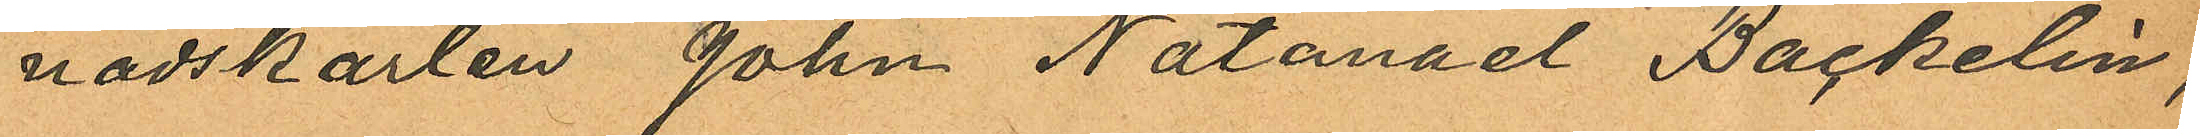nadskarlen John Natanael Backelin,
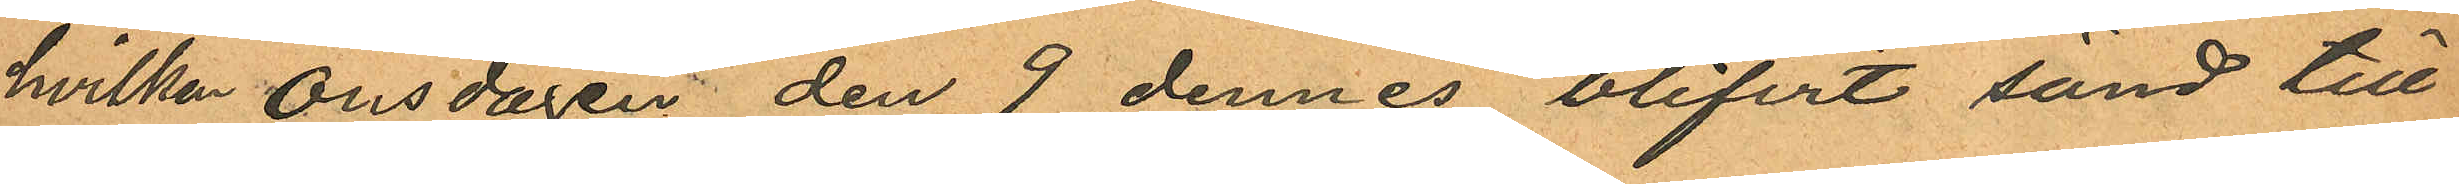hvilken onsdagen den 9 dennes blifvit sänd till
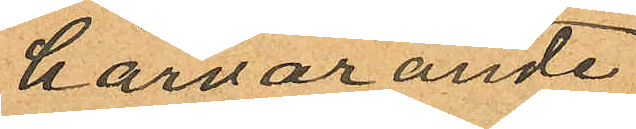härvarande
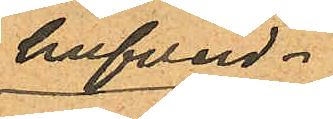hufvud¬
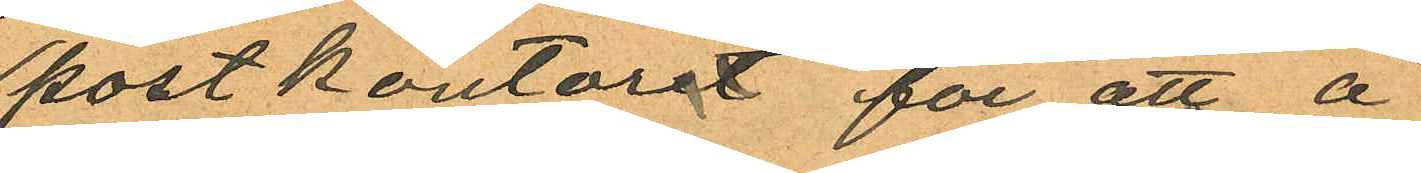postkontoret för att å
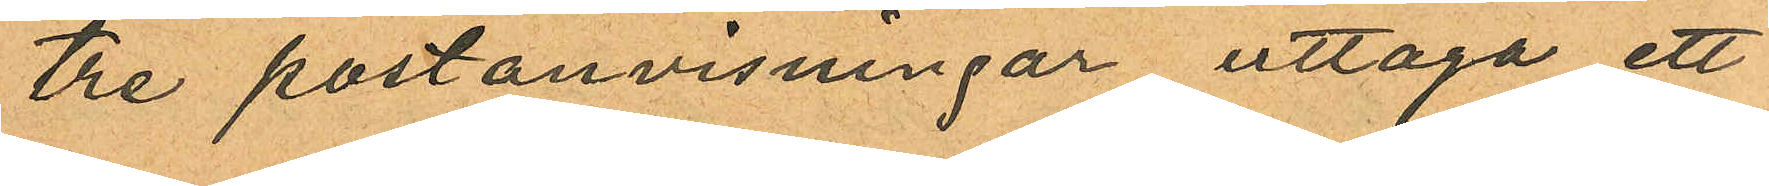tre postanvisningar uttaga ett
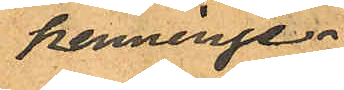penninge¬
